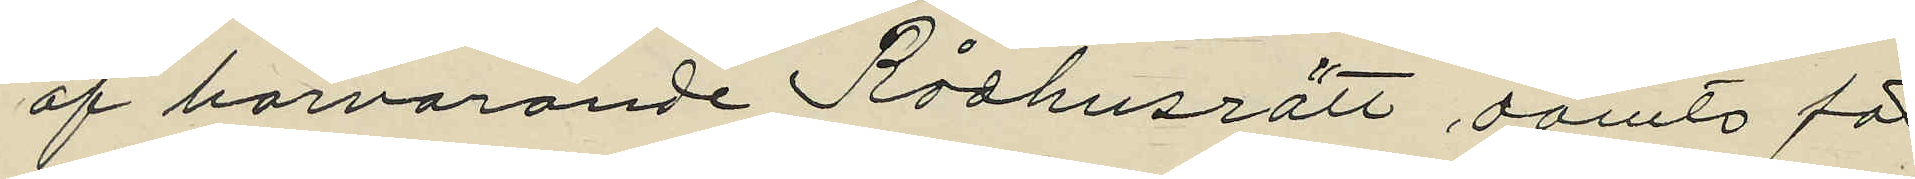af härvarande Rådhusrätt dömts för
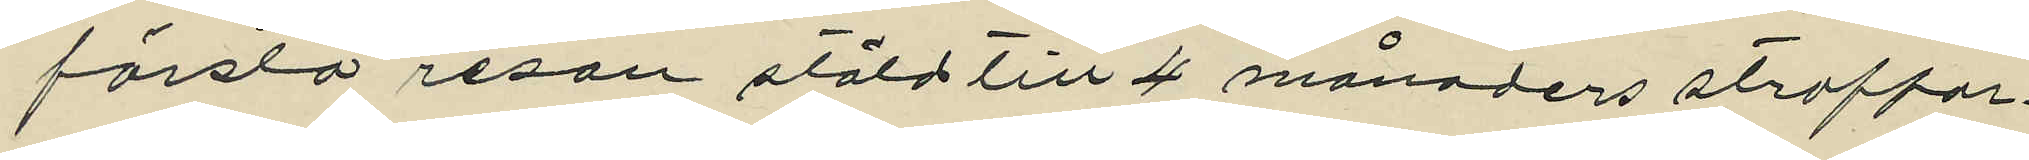första resan stöld till 4 månaders straffar¬
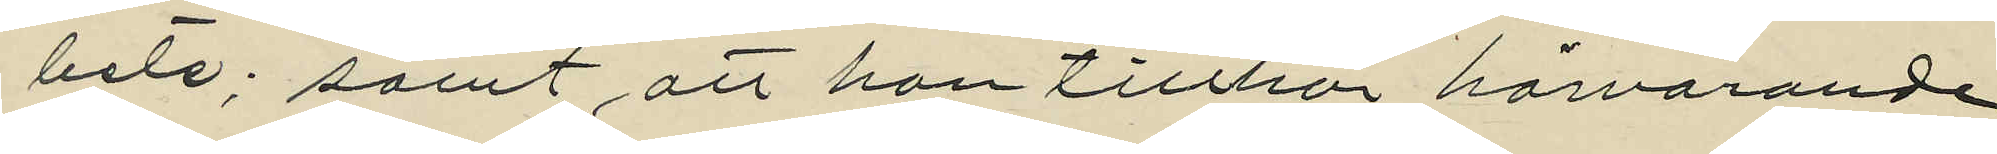bete; samt att han tillhör härvarande
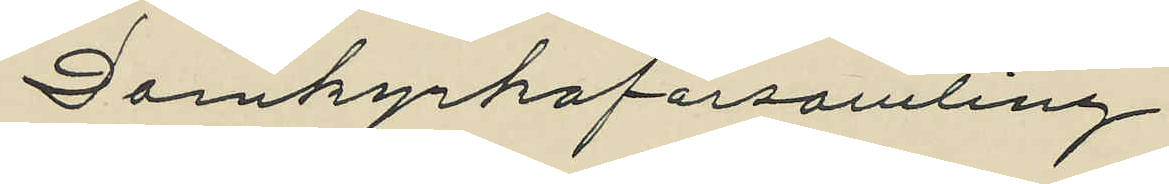Domkyrkoförsamling.
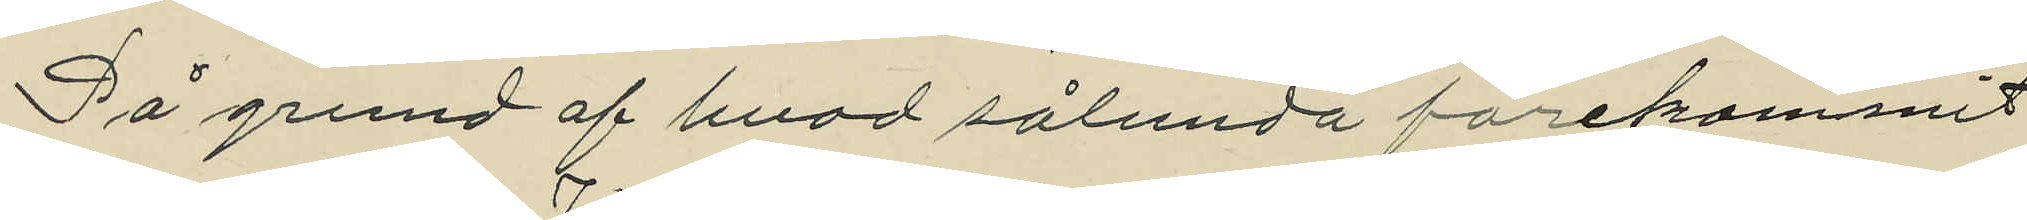På grund af hvad sålunda förekommit
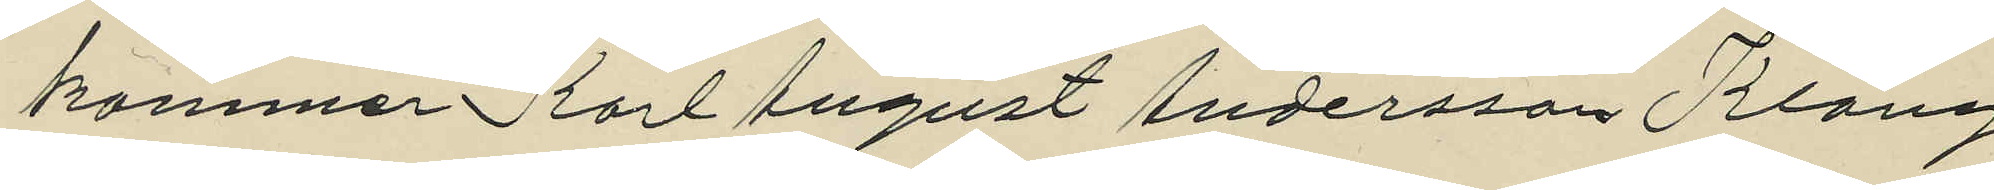kommer Karl August Andersson Klang
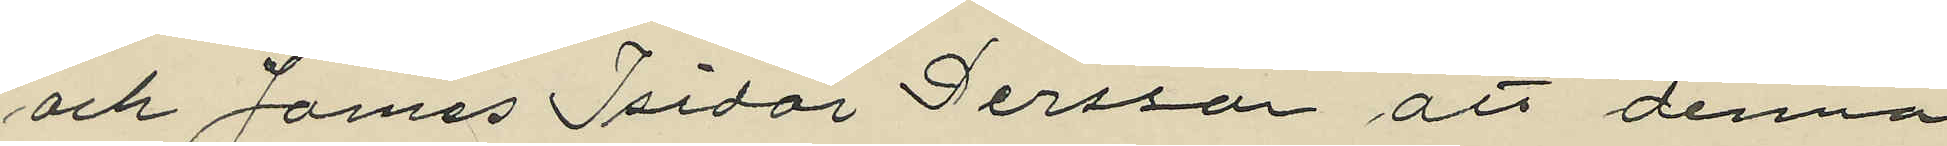och James Isidor Persson att denna
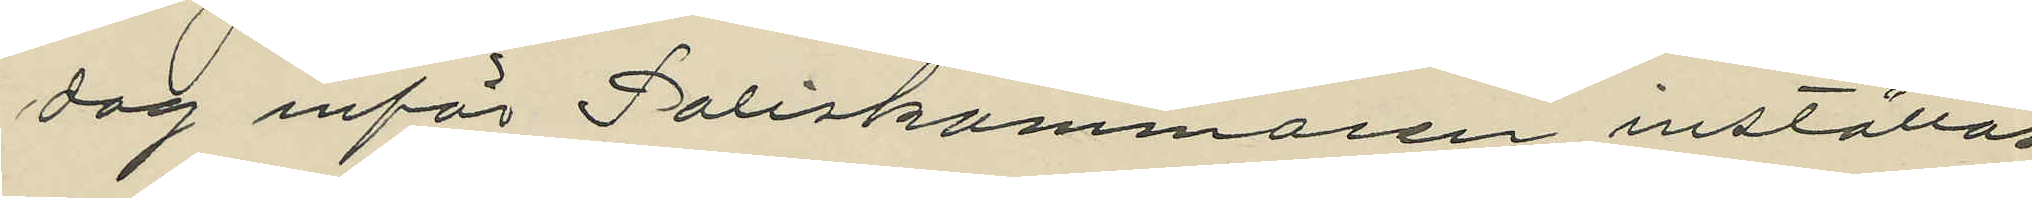dag inför Poliskammaren inställas
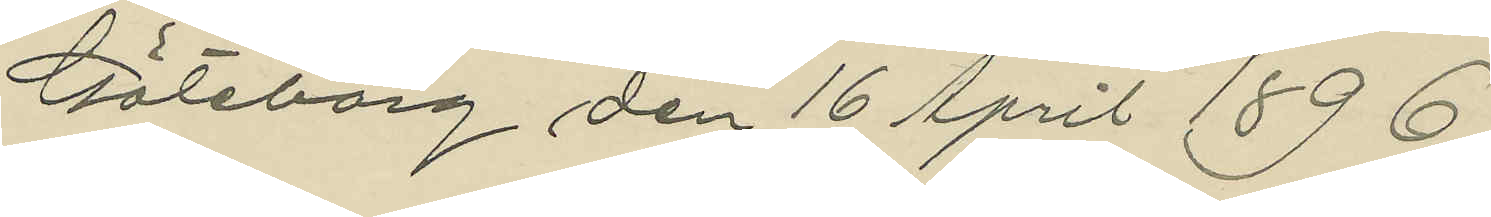Göteborg den 16 April 1896.
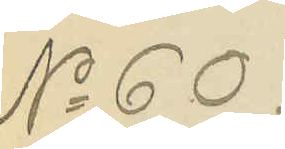No 60.
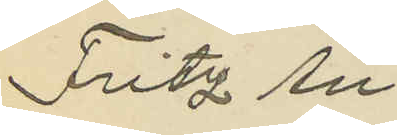Fritz An¬
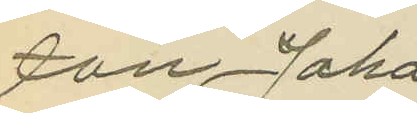ton Johans¬
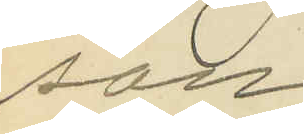son
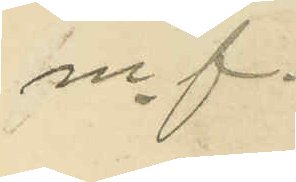m. f.
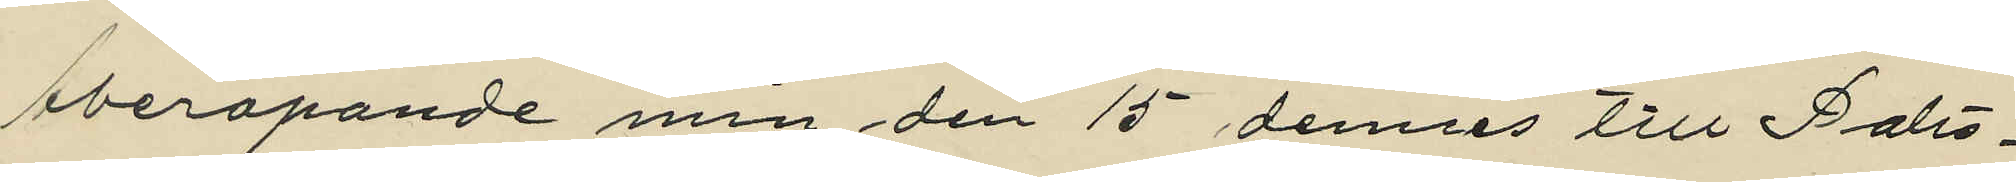Åberopande min den 15 dennes till Polis¬
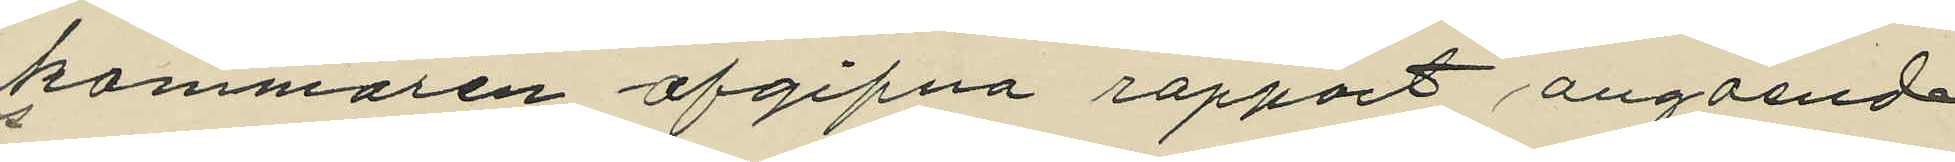kammaren afgifna rapport angående
